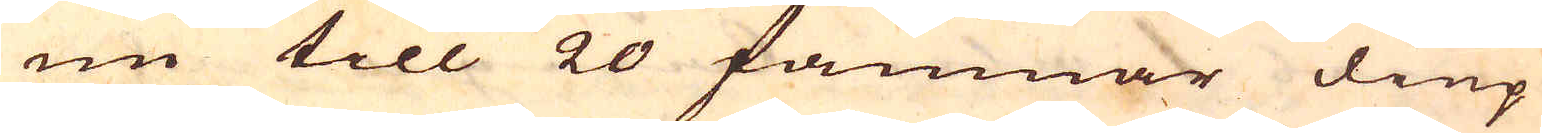nu till 20 famnar diup
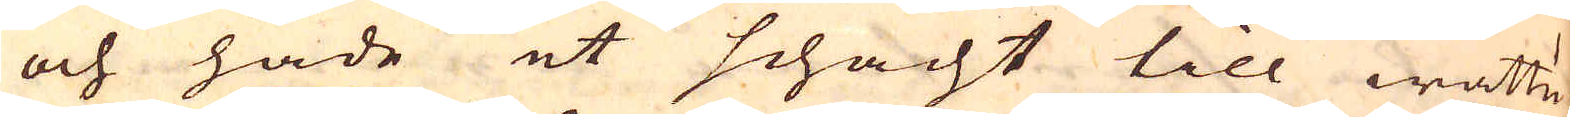och hade et schacht till wattu-
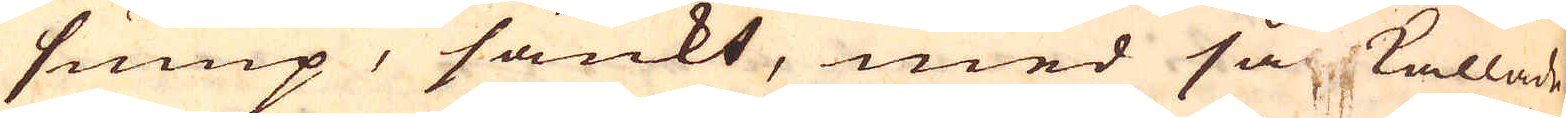sump, sänkt, med så kallade
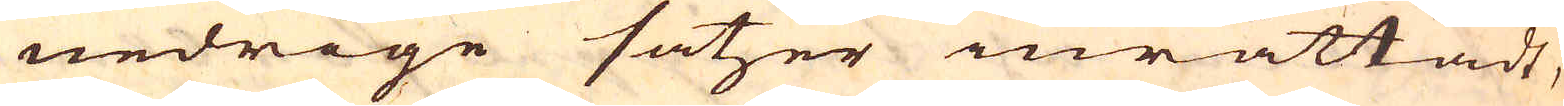nedrige satzer inrättadt,
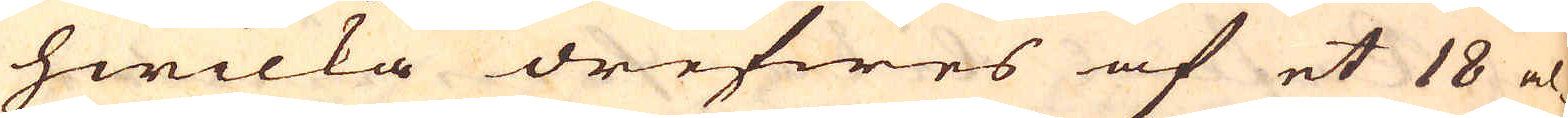hwilka drefwes af et 18 al-
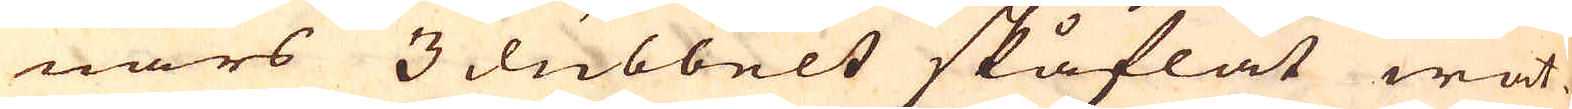nars 3 dubbelt skåflat wat-
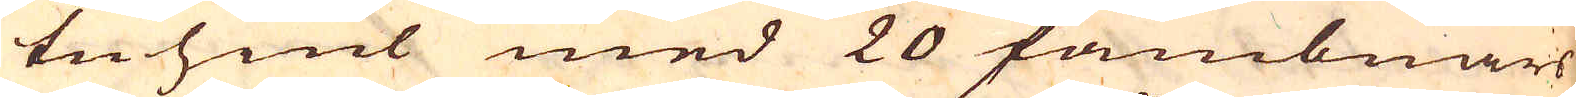tuhiul med 20 fambnars
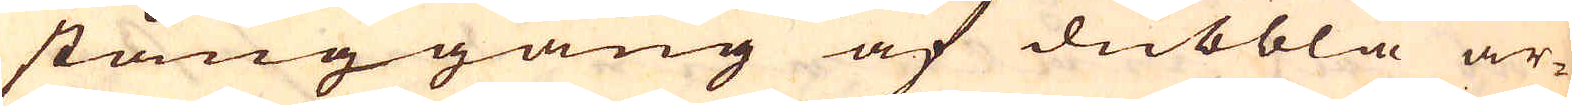stånggång af dubbla ar-
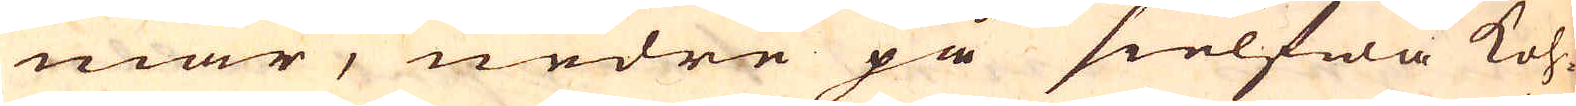mar, nedre på sielfwa Koh-
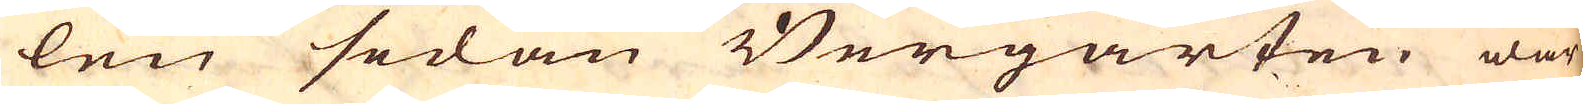len sedan Bergarten war
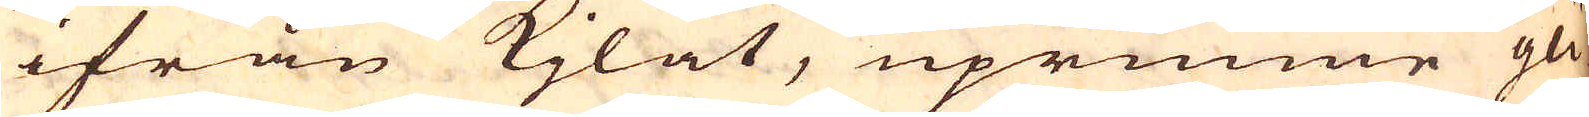ifrån kjlat, uprunne gli-
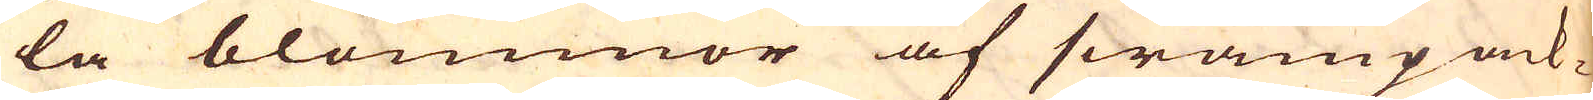la blommor af swampack-
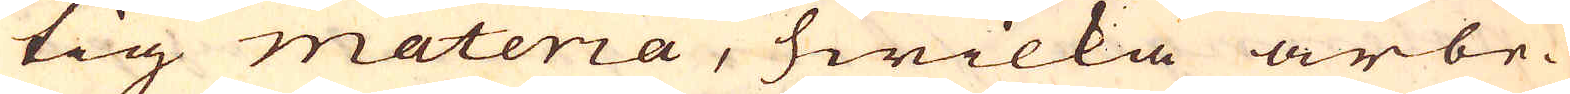tig materia, hwilka arbe-
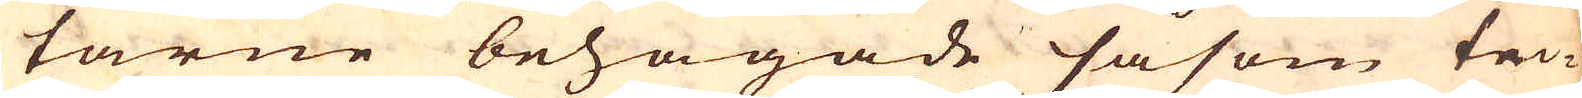tarne behagade såsom tor-
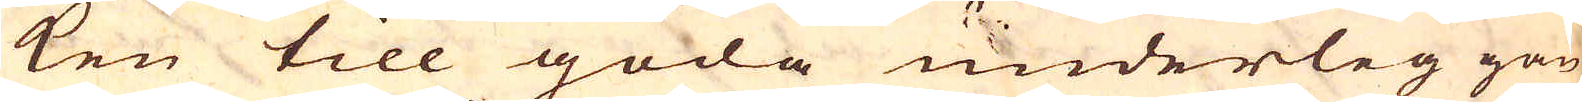ken till goda underlig gan
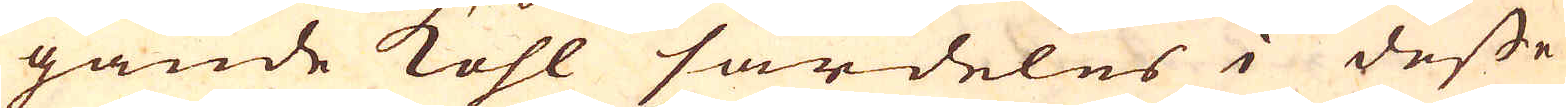gande kohl särdeles i desse
